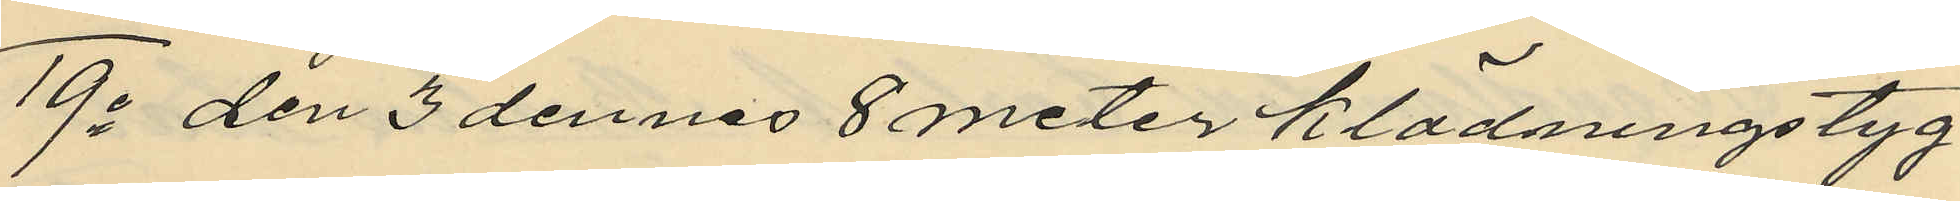19o den 3 dennes 8 meter klädningstyg
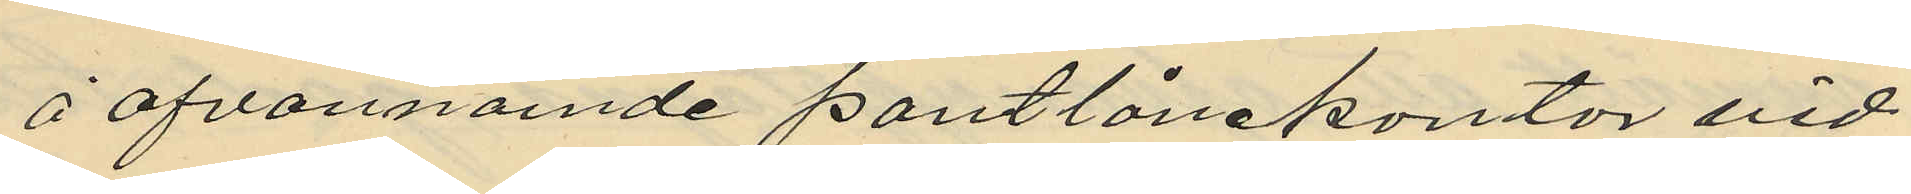å ofvannomde pantlånekontor vid
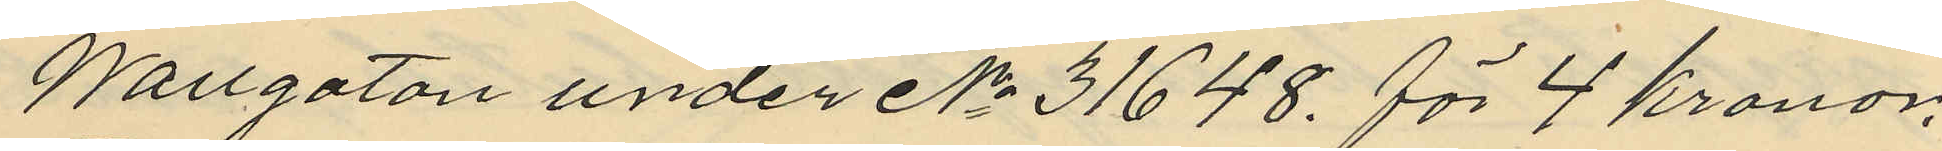Wallgatan under No 31648 för 4 kronor.
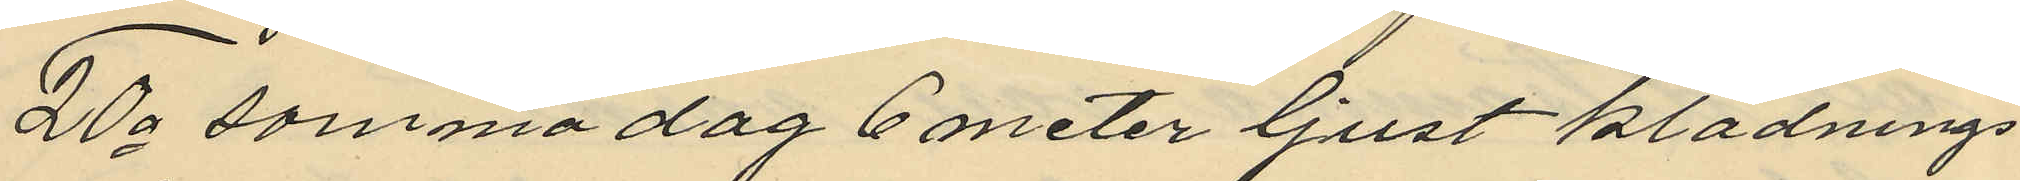20o samma dag 6 meter ljust klädnings¬
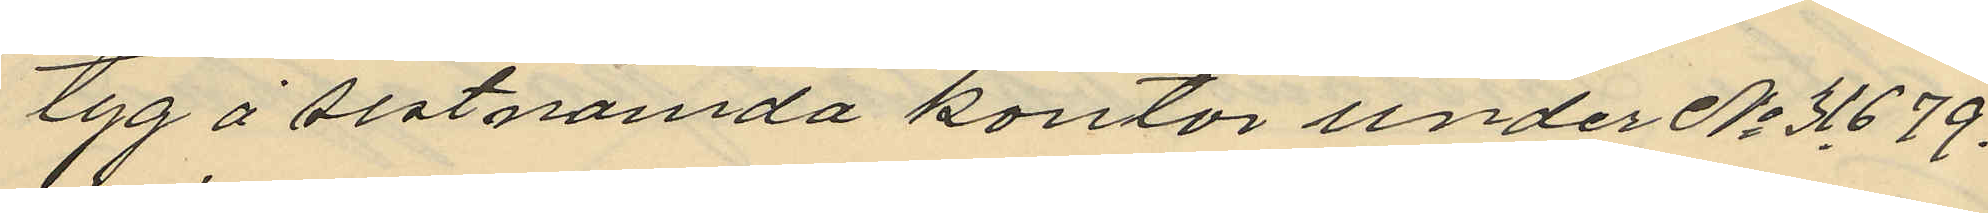tyg å sistnämda kontor under No 31679.
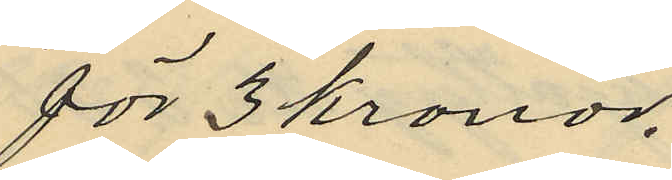för 3 kronor.
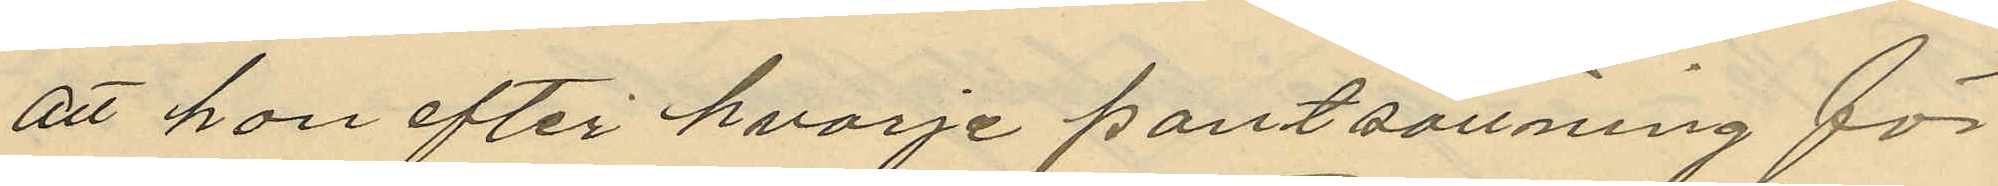att hon efter hvarje pantsättning för
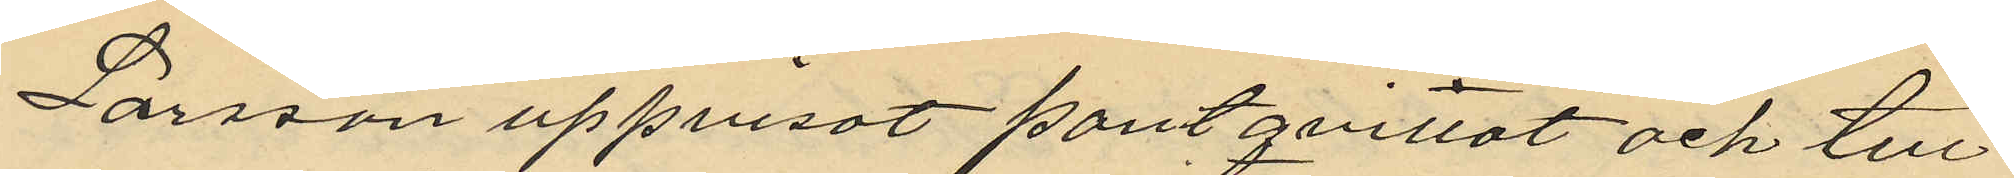Larsson uppvisat pantqvittot och till
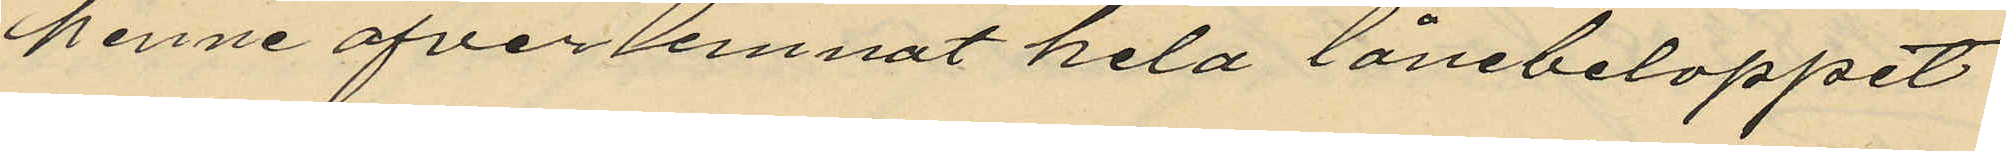henne öfver lemnat hela lånebeloppet
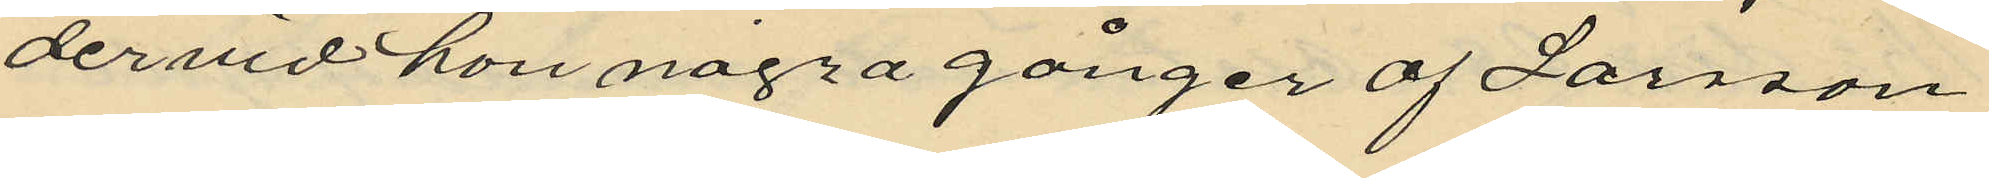dervid hon några gånger af Larsson
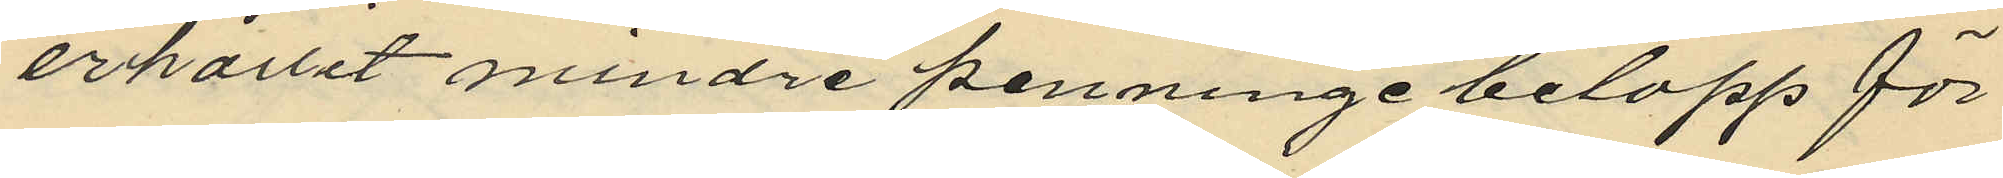erhållit mindre penninge belopp för
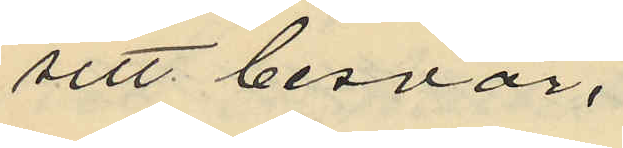sitt besvär.
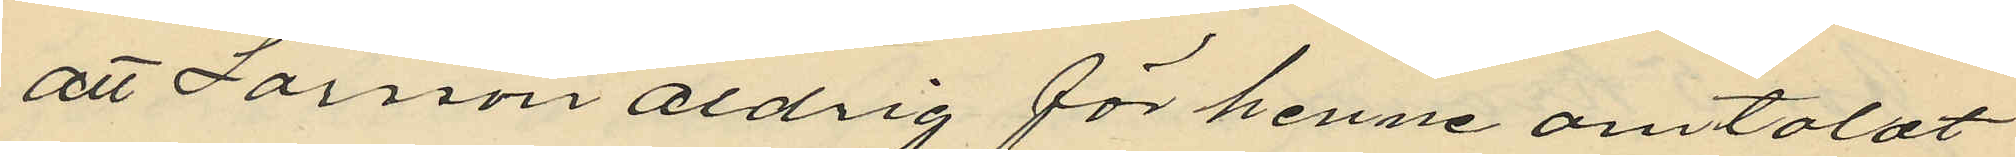att Larsson aldrig för henne omtalat
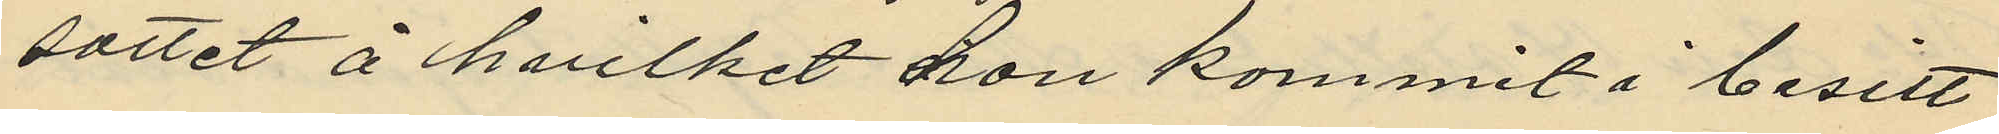sättet å hvilket hon kommit i besitt¬
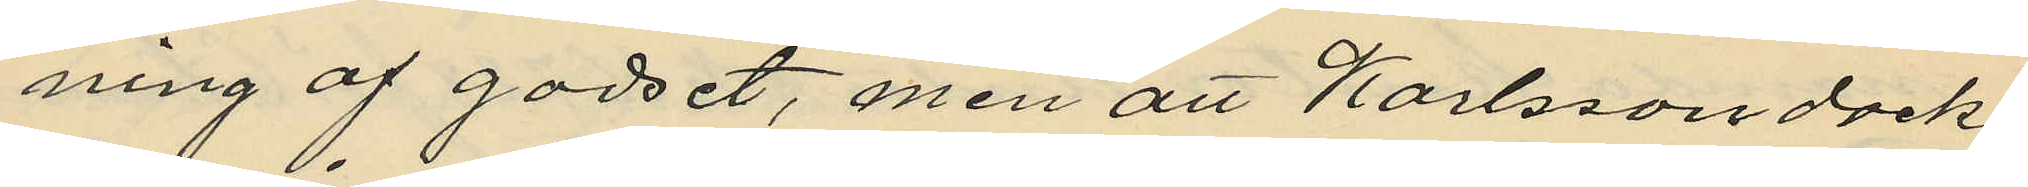ning af godset, men att Karlsson dock
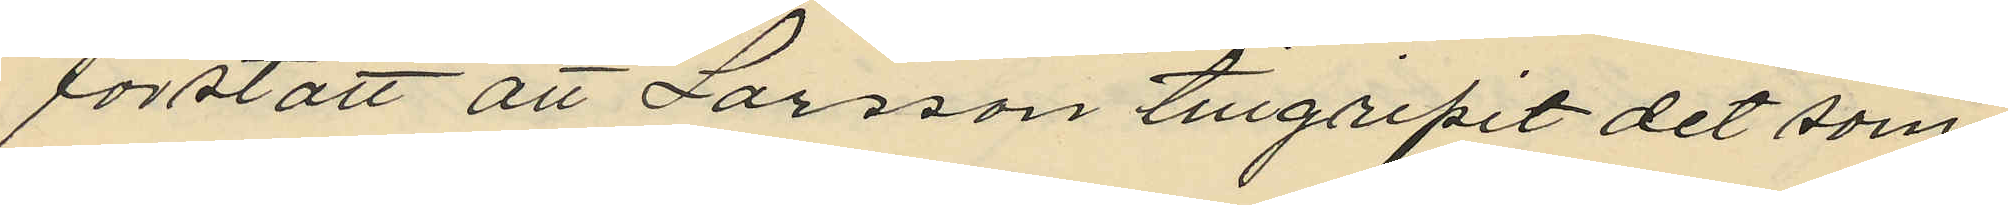förstått att Larsson tillgripit det sam¬
